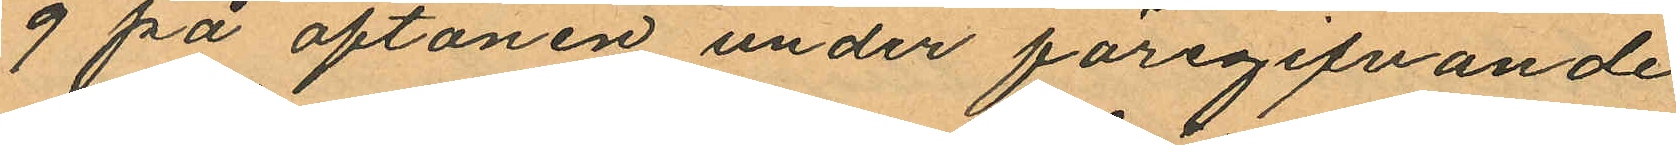9 på aftonen under föregifvande
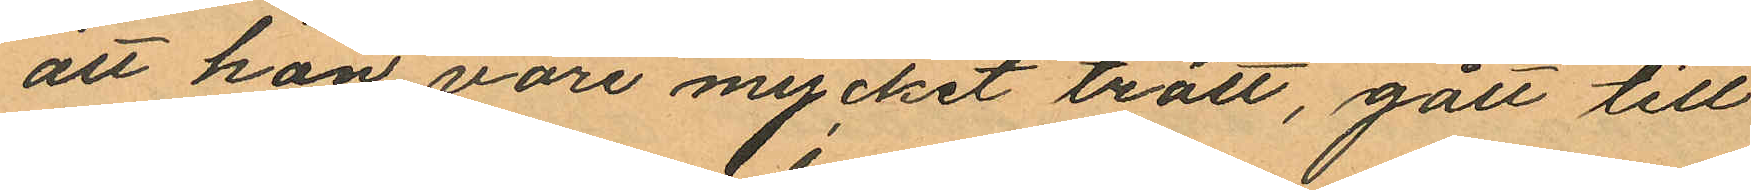att hon vore mycket trött, gått till
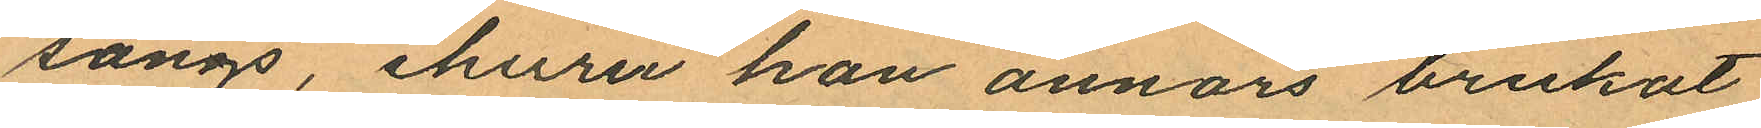sängs, ehuru hon annars brukat
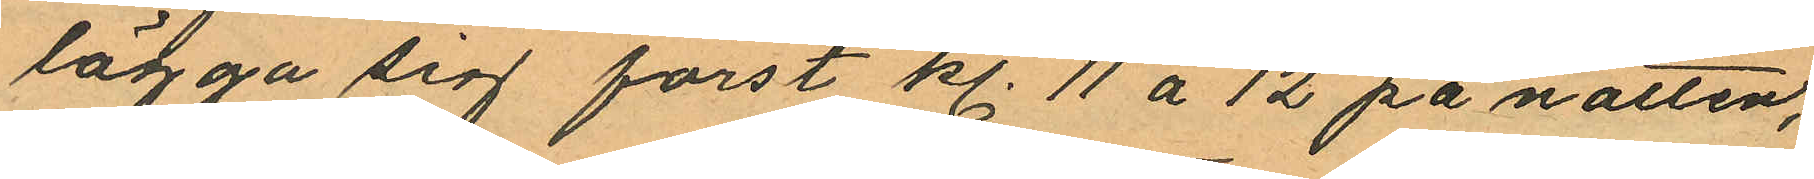lägga sig först kl. 11 á 12 på natten,
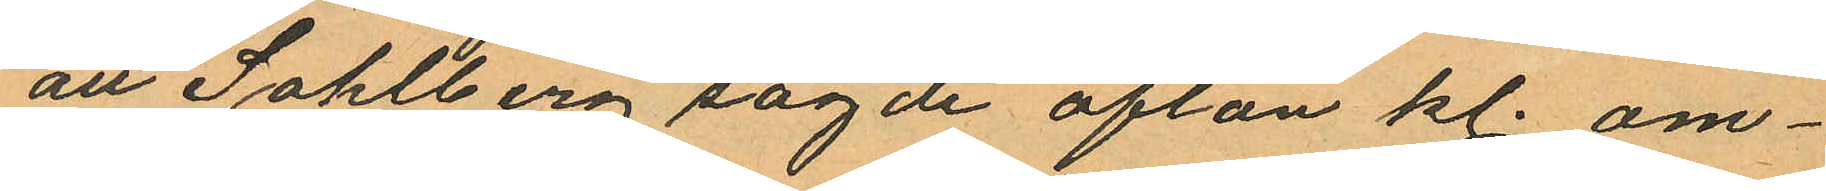att Sohlberg sagde afton kl. om¬
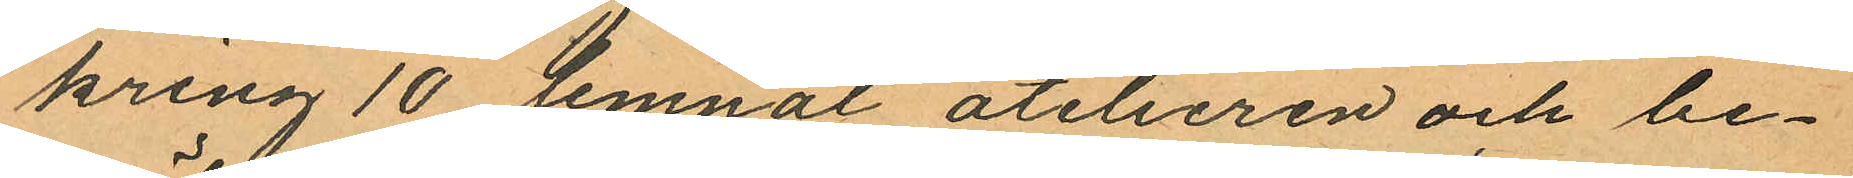kring 10 lemnat atelieren och be¬
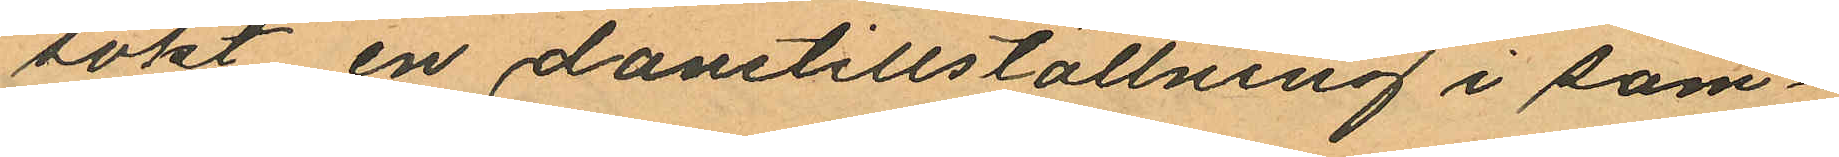sökt en danstillställning i sam¬
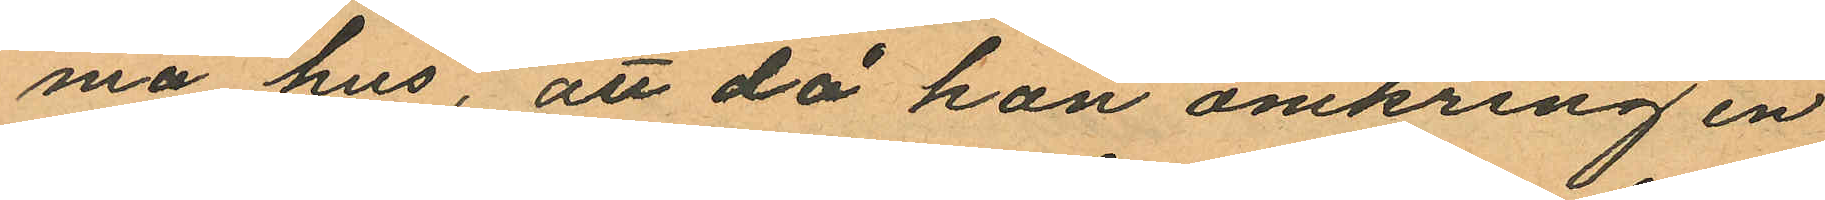ma hus, att då hon omkring en
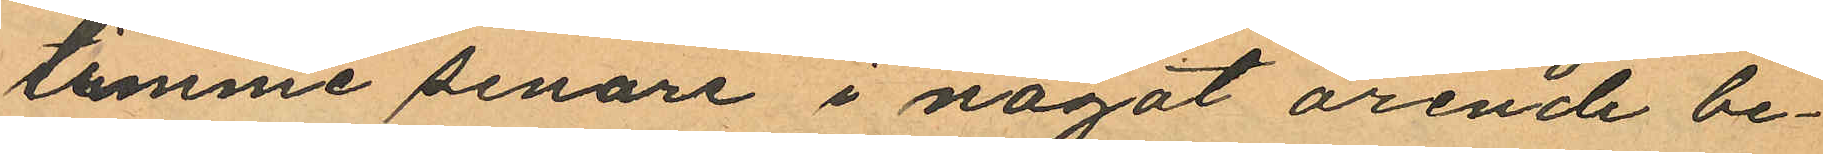timme senare i något ärende be¬
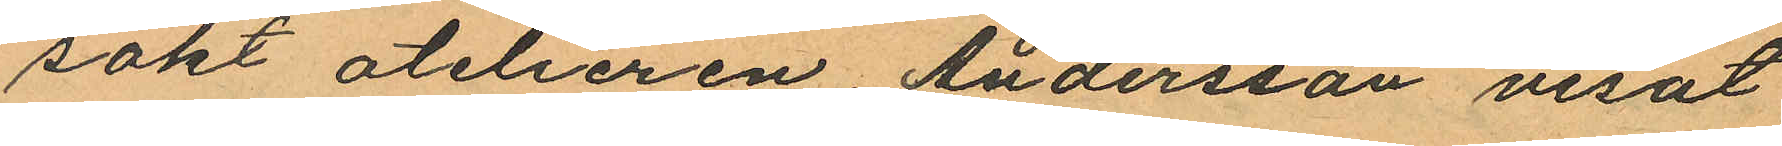sokt atelieren, Andersson visat
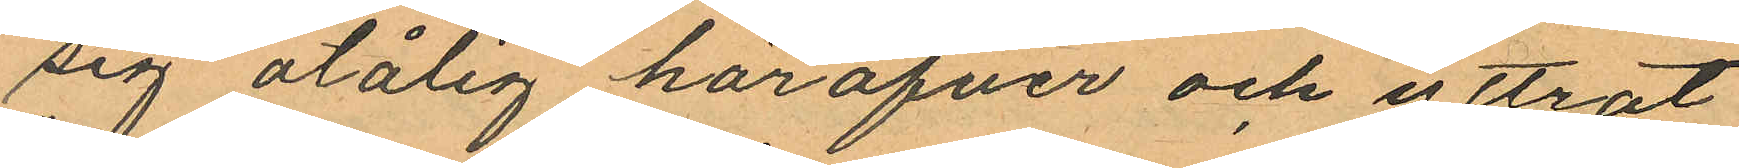sig otålig häröfver och yttrat
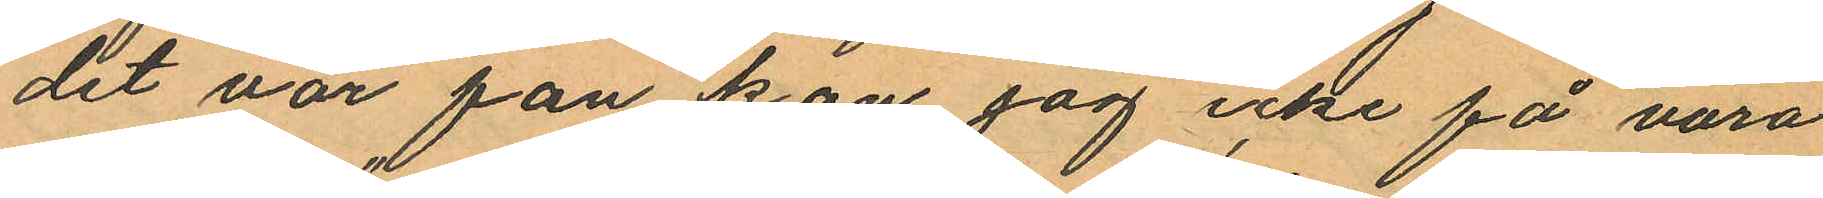"det var fan kan jag icke få vara
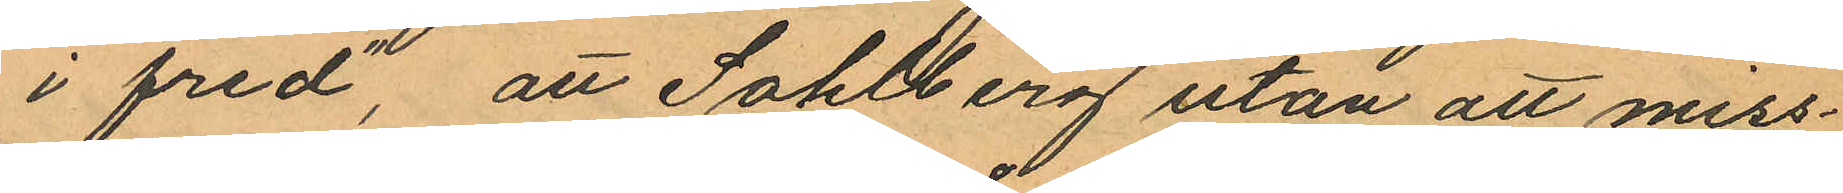i fred", att Sohlberg utan att miss¬
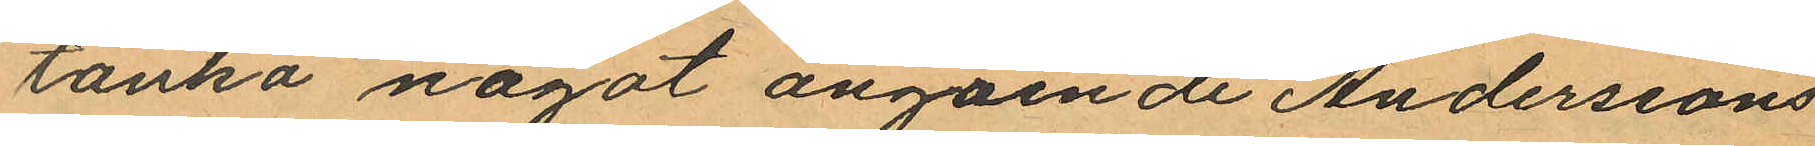tänka något angående Anderssons
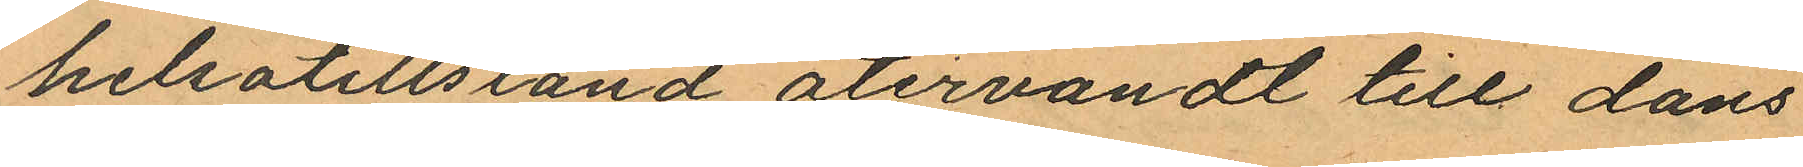helsotillstånd återvändt till dans
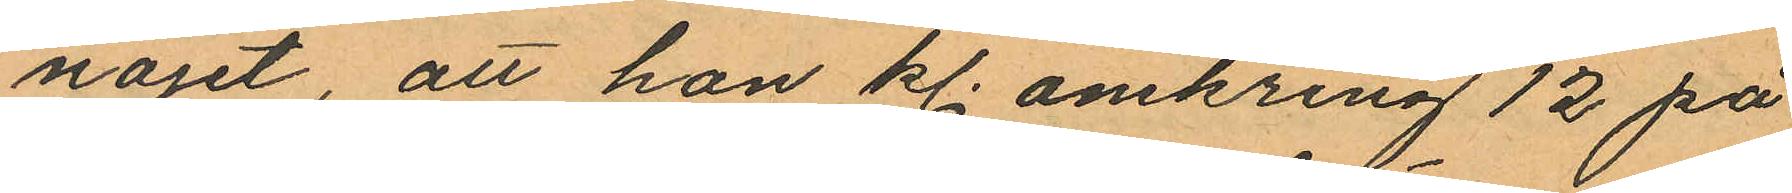nöjet, att hon kl. omkring 12 på
